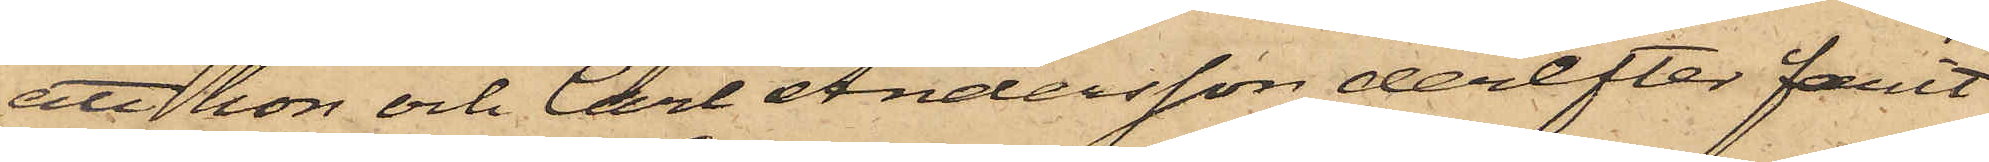att hon och Carl Andersson derefter farit
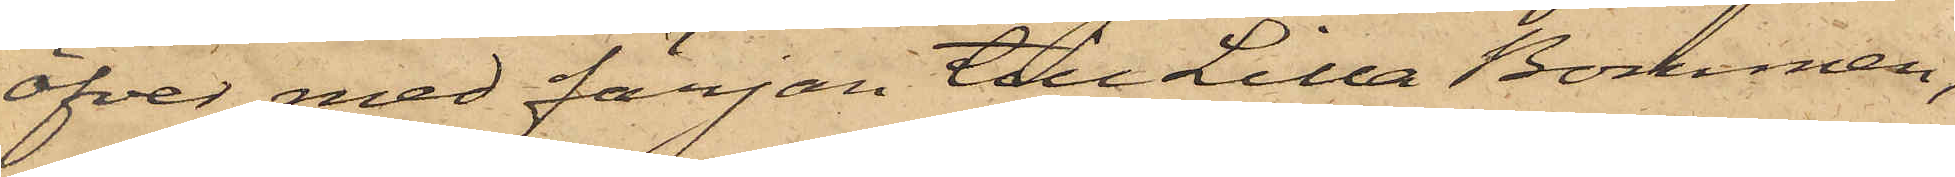öfver med färjan till Lilla Bommen,
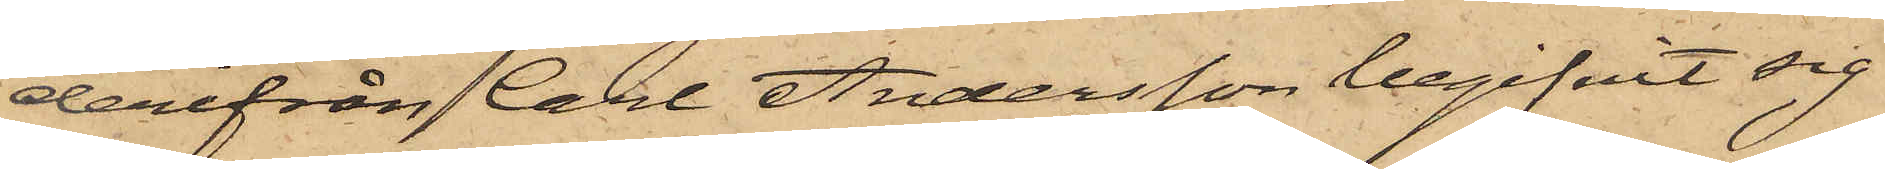derifrån Carl Andersson begifvit sig
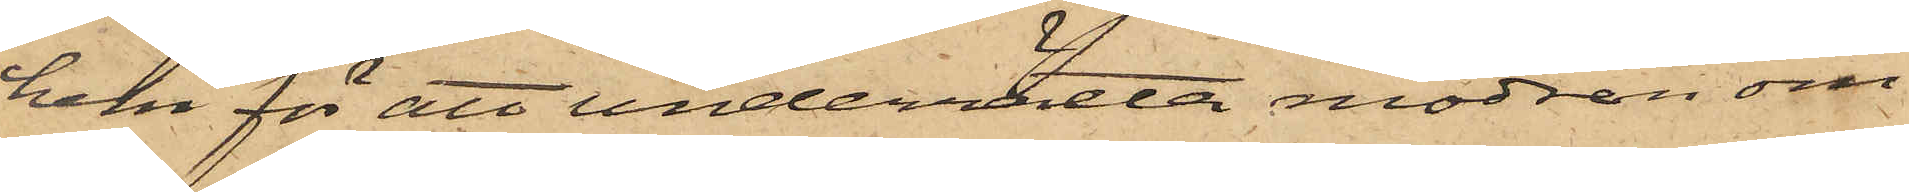hem för att underrätta modren om
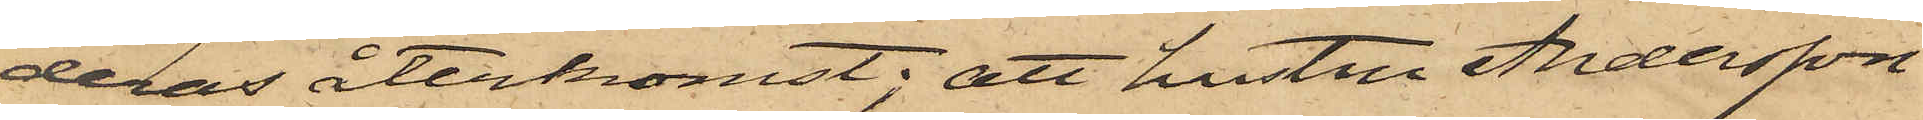deras återkomst; att hustru Andersson
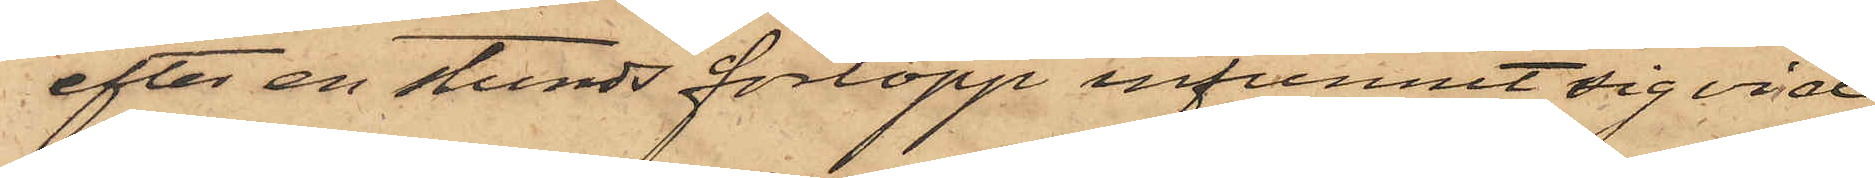efter en stunds förlopp infunnit sig vid
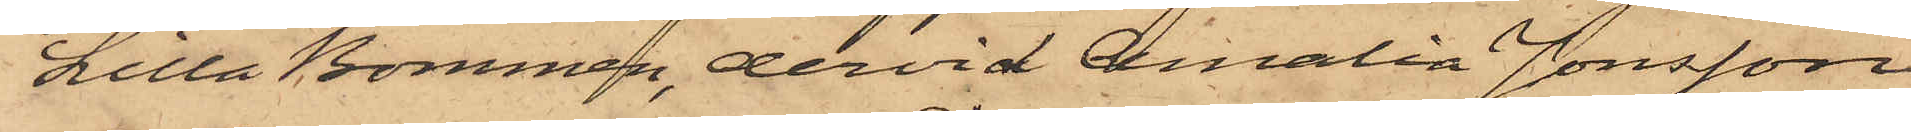Lilla Bommen, dervid Amalia Jonsson
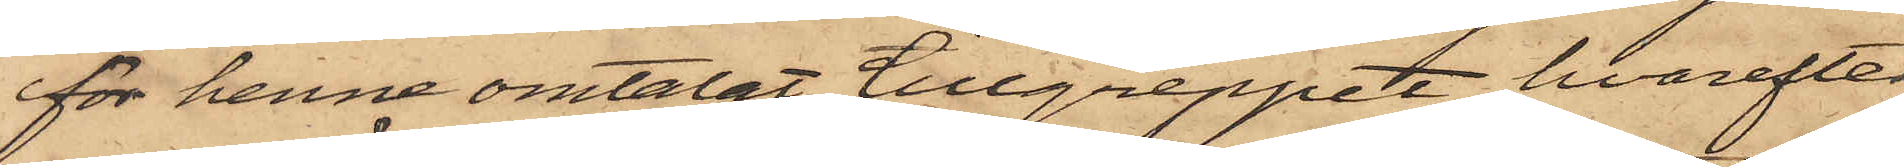för henne omtalat tillgreppet, hvarefter
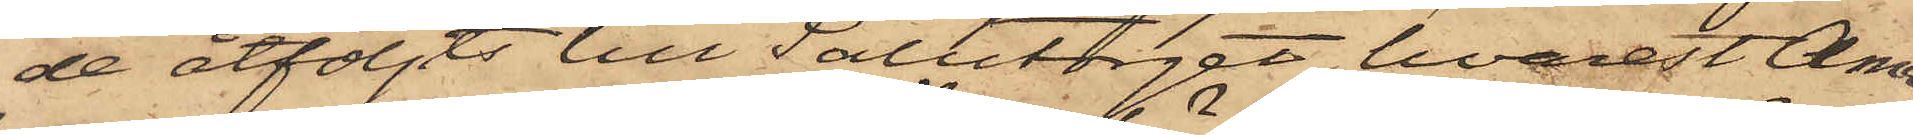de åtföljts till Salutorget, hvarest Ama¬
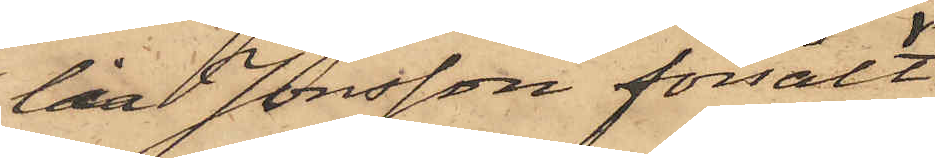lia Jonsson försålt
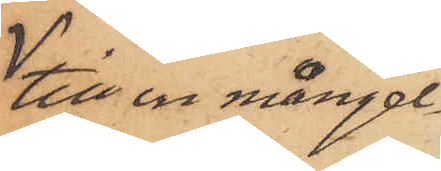till en mångel¬
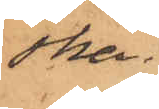ska
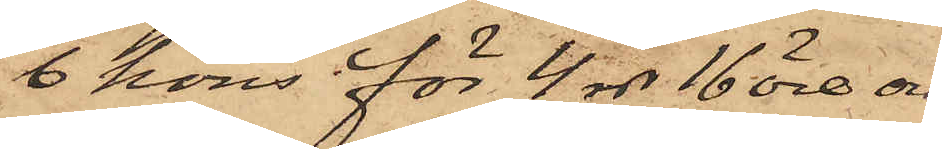6 höns för 4 rdr 16 öre och
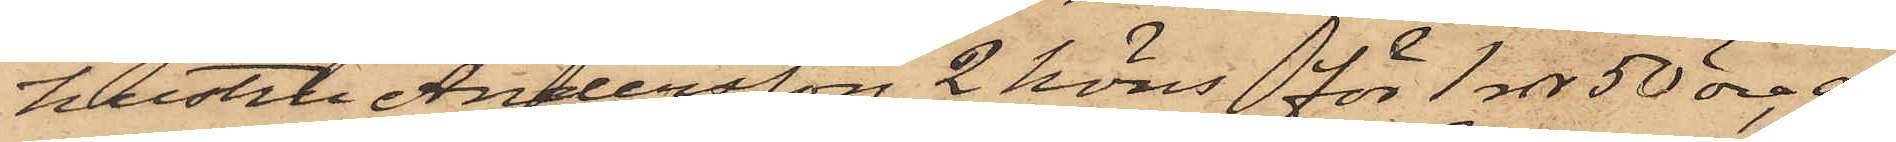hustru Andersson 2 höns för 1 rdr 50 öre, af
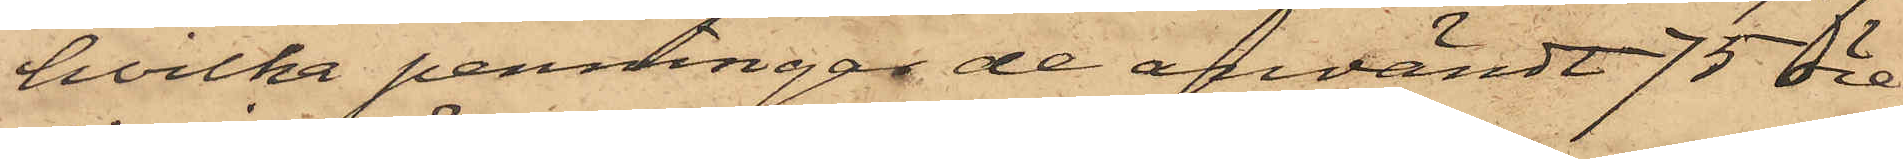hvilka penningar de användt 75 öre
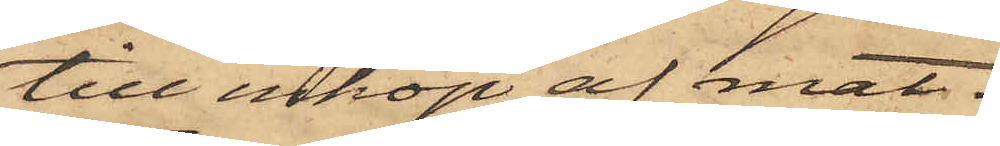till inköp af mat.
